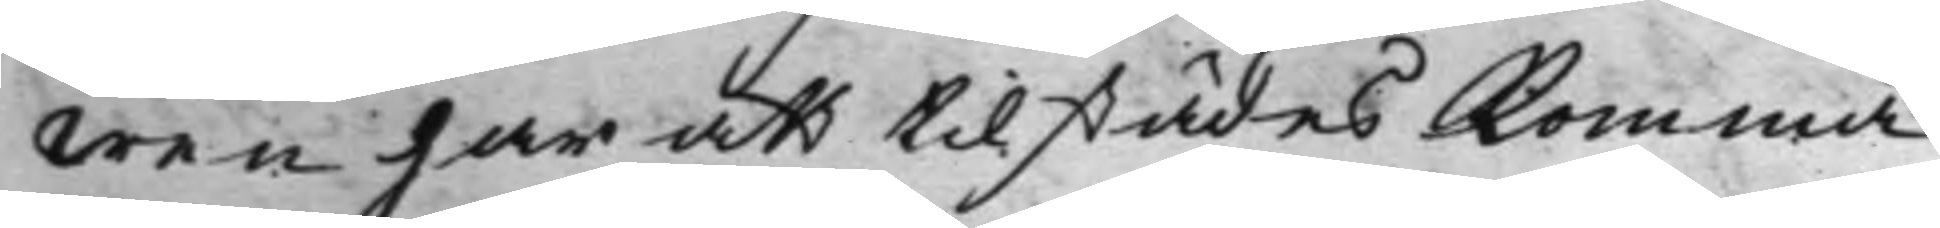wen har att tilstädes komma.
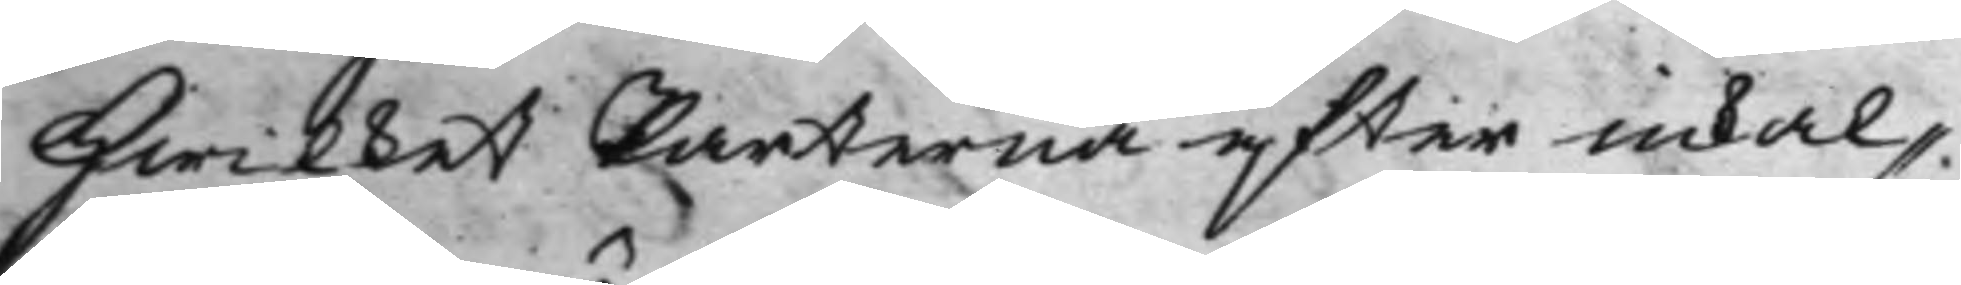Hwilket Parterna efter inkal¬
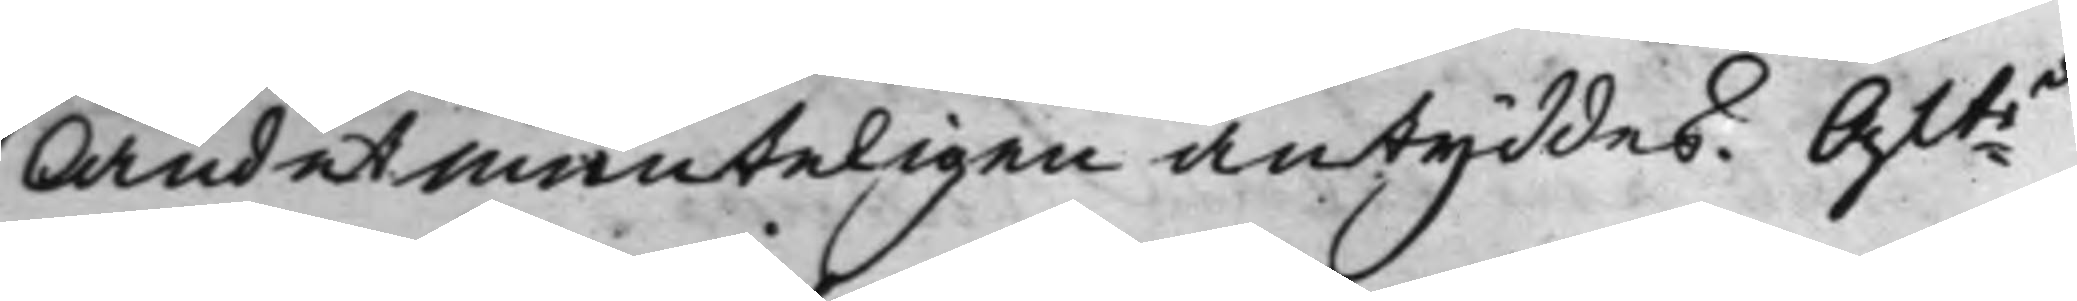landet munteligen antyddes. Aftde
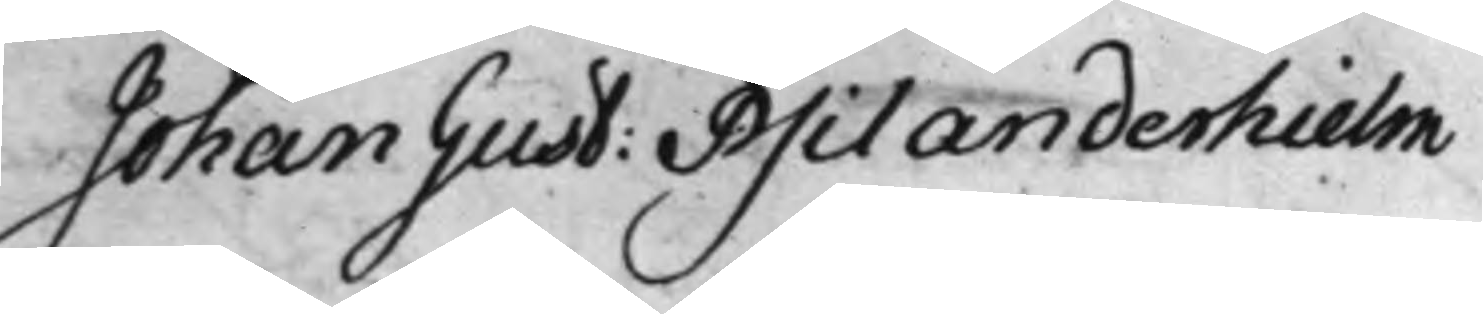Johan Gust: Psilanderhielm
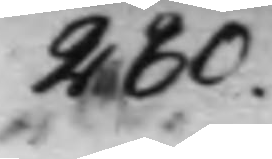280.
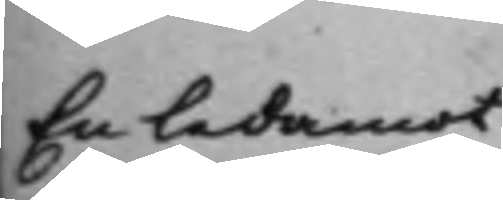En ledamot
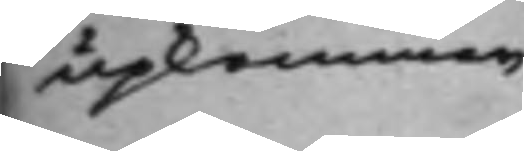upkommer
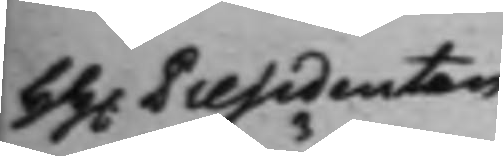HH. Presidenten
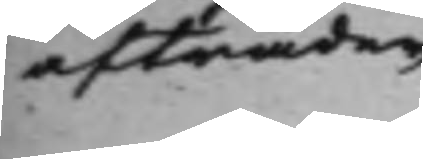afträder
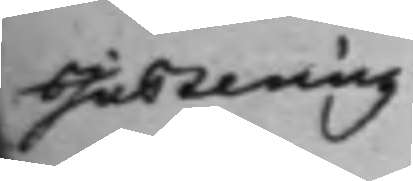Justering
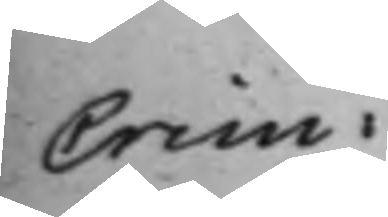Crim:
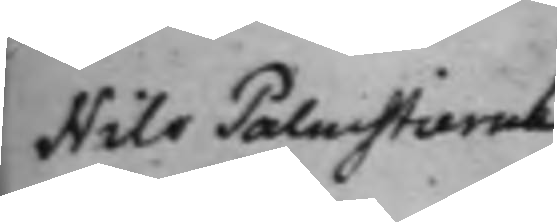Nils Palmstierna
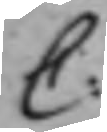C:
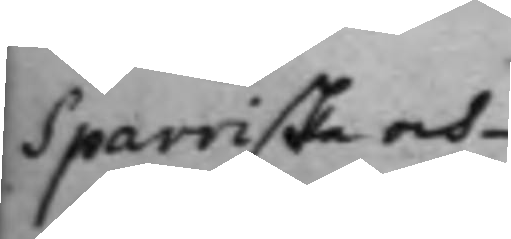Sparriske och
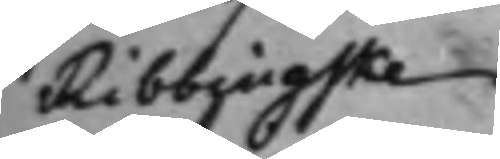Ribbingske
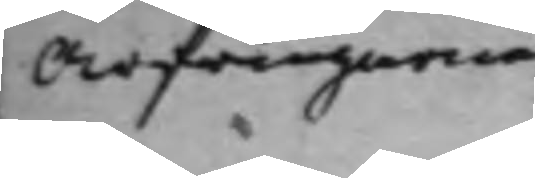Arfwingarne
